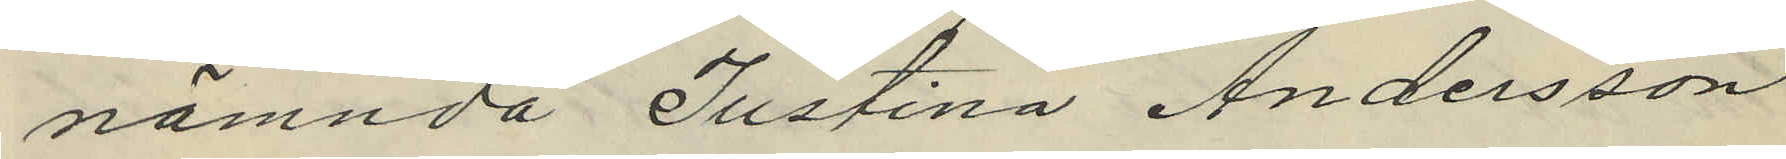nämnda Justina Andersson
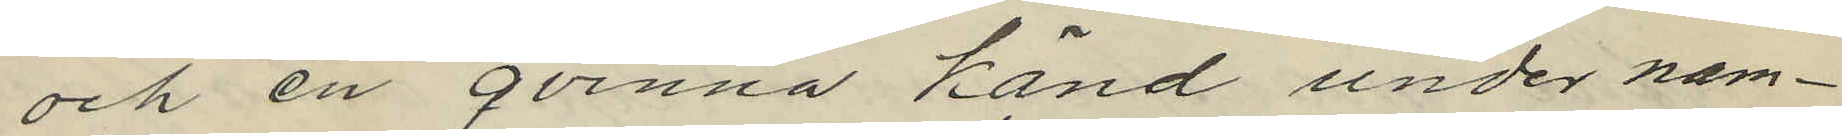och en qvinna känd under nam¬
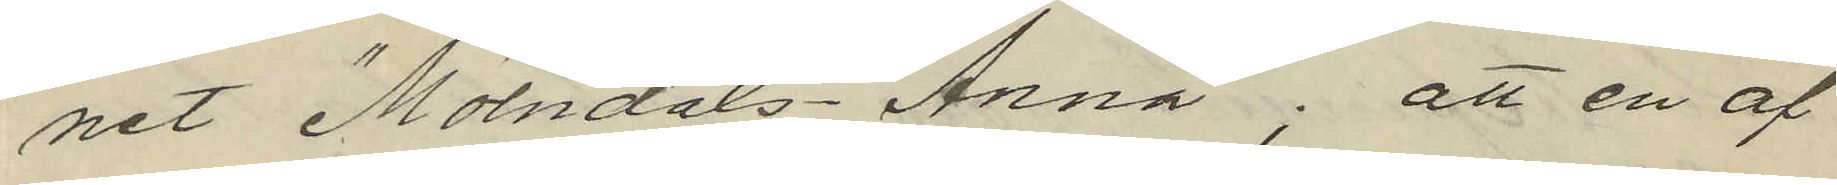net "Möndals Anna"; att en af
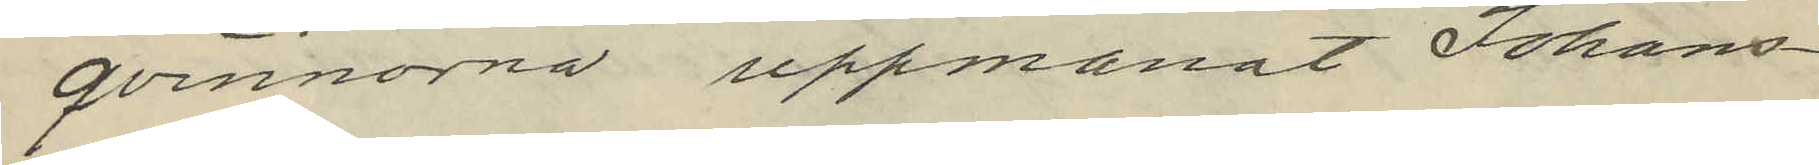qvinnorna uppmanat Johans¬
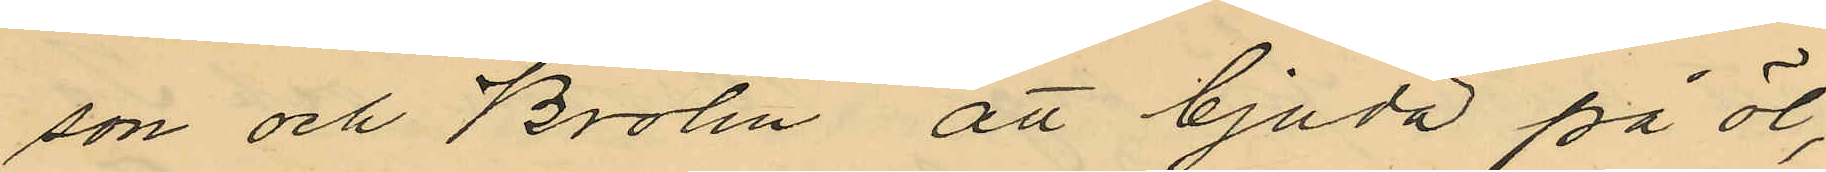son och Brolin att bjuda på öl,
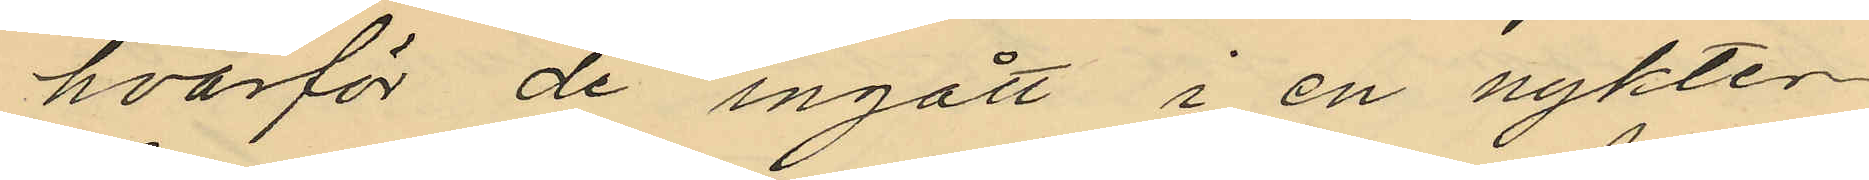hvarför de ingått i en nykter¬
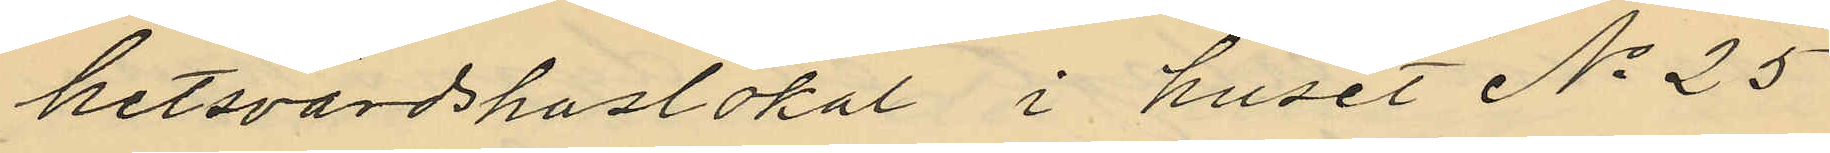hetsvärdshuslokal i huset No 25
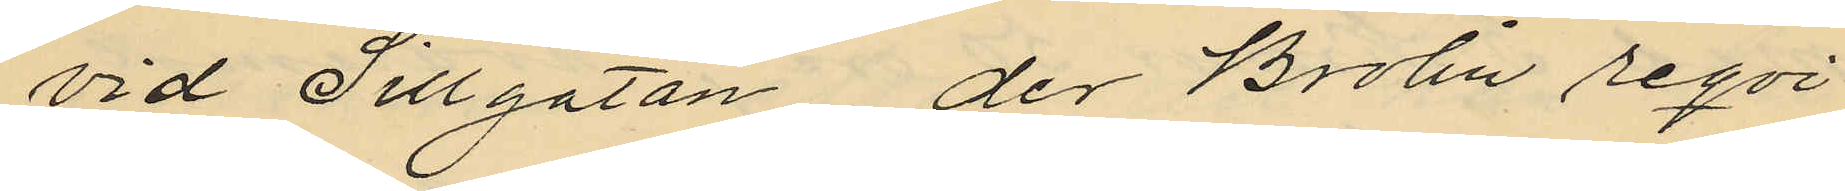vid Sillgatan, der Brolin reqvi¬
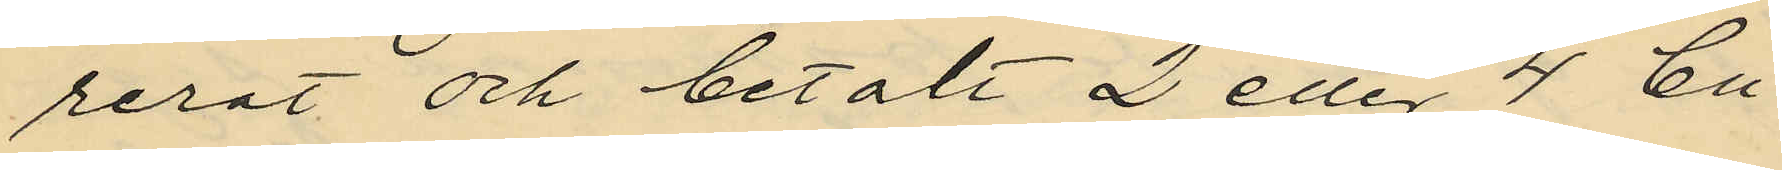rerat och betalt 2 eller 4 Bu¬
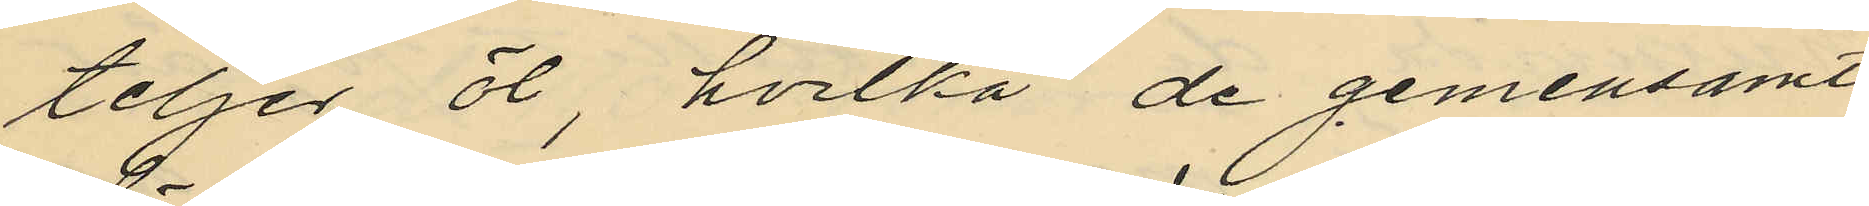teljer öl, hvilka de gemensamt
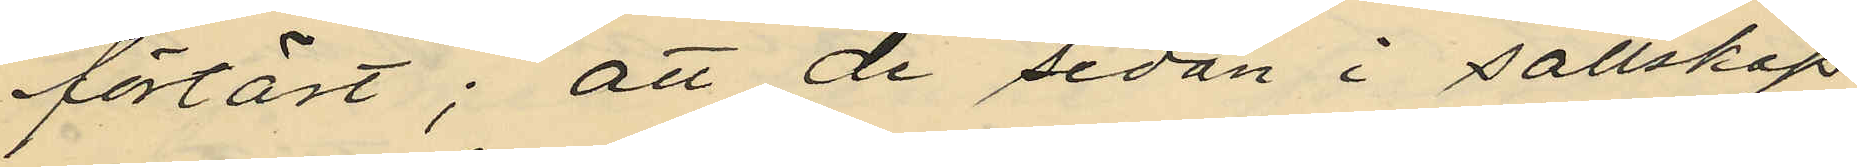förtärt; att de sedan i sällskap
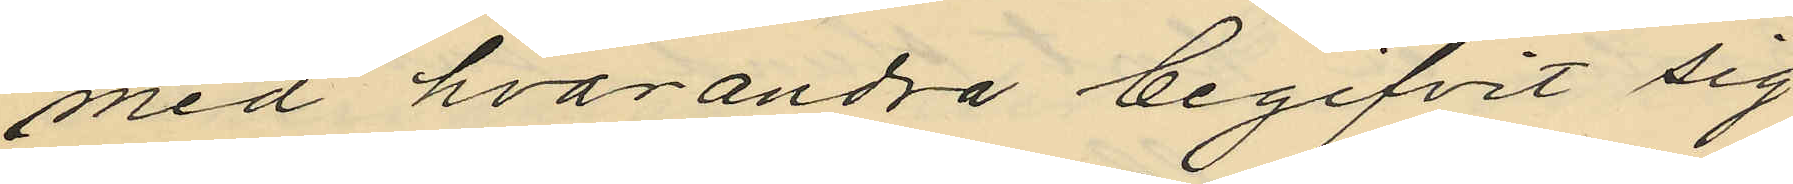med hvarandra begifvit sig
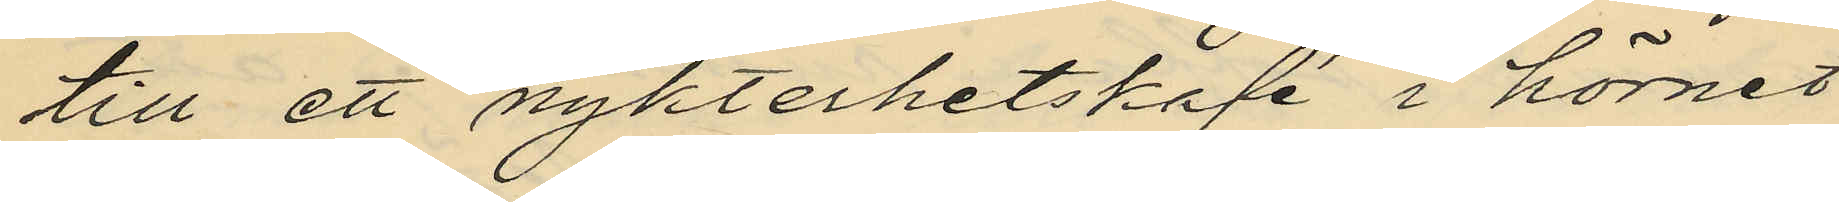till ett nykterhetskafé i hörnet
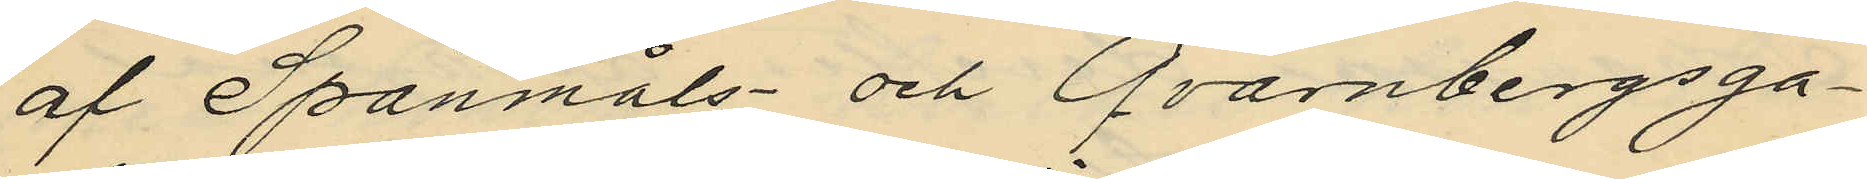af Spanmåls- och Qvarnbergsga¬
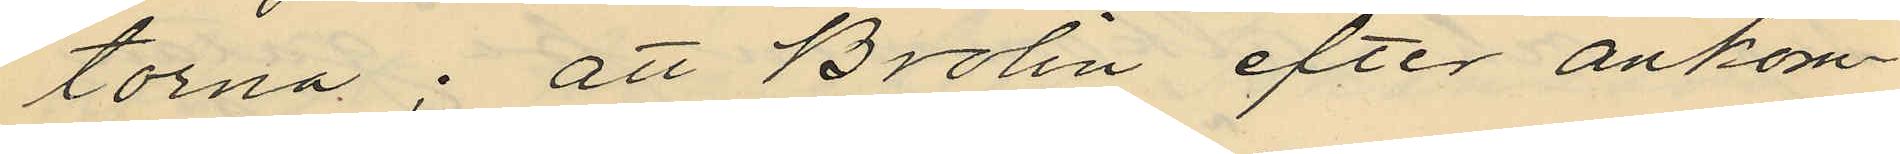torna; att Brolin efter ankom¬
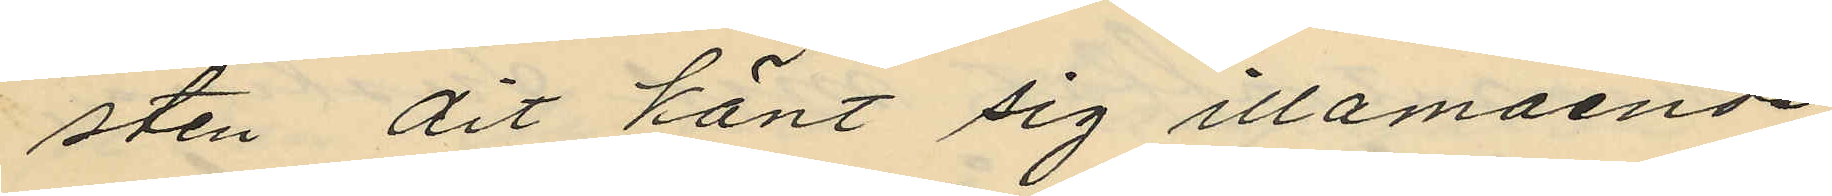sten dit känt sig illamående,
